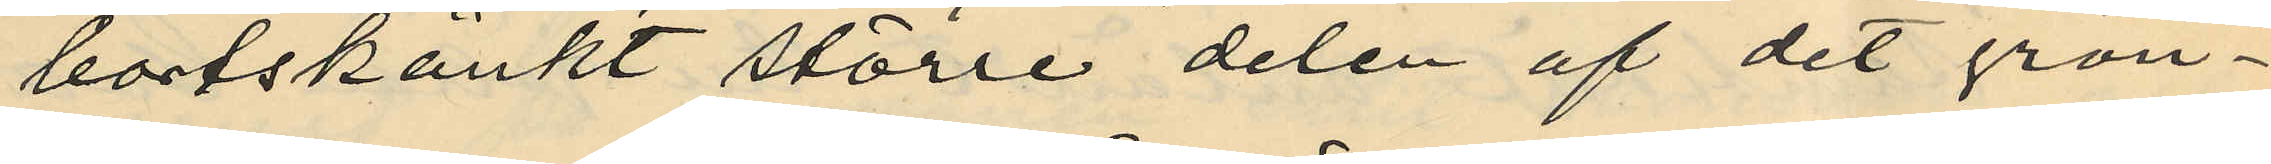bortskänkt större delen af det grön¬
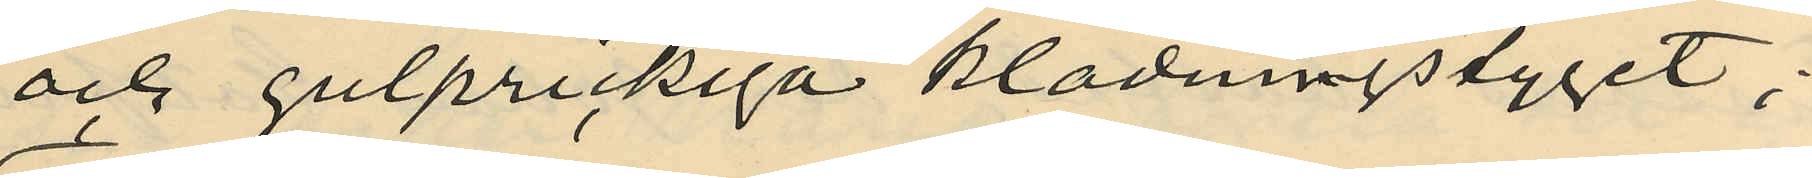och gulprickiga klädningstyget;
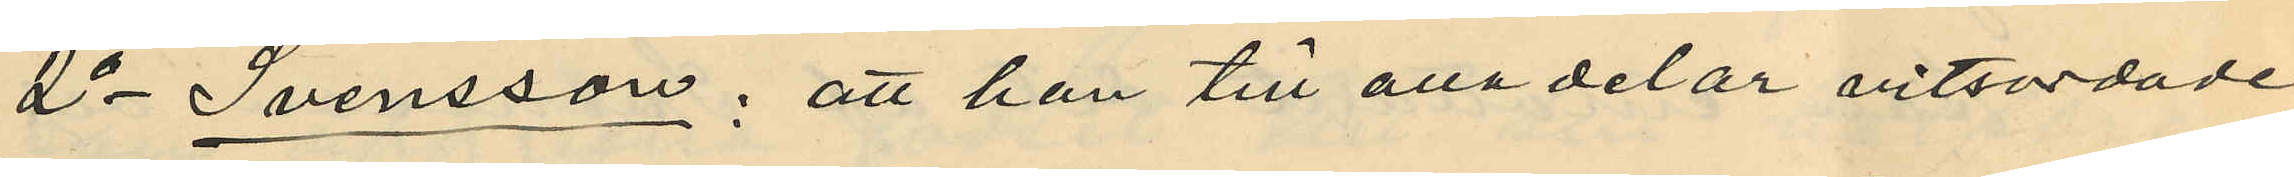2o Svensson: att han till alla delar vitsordade
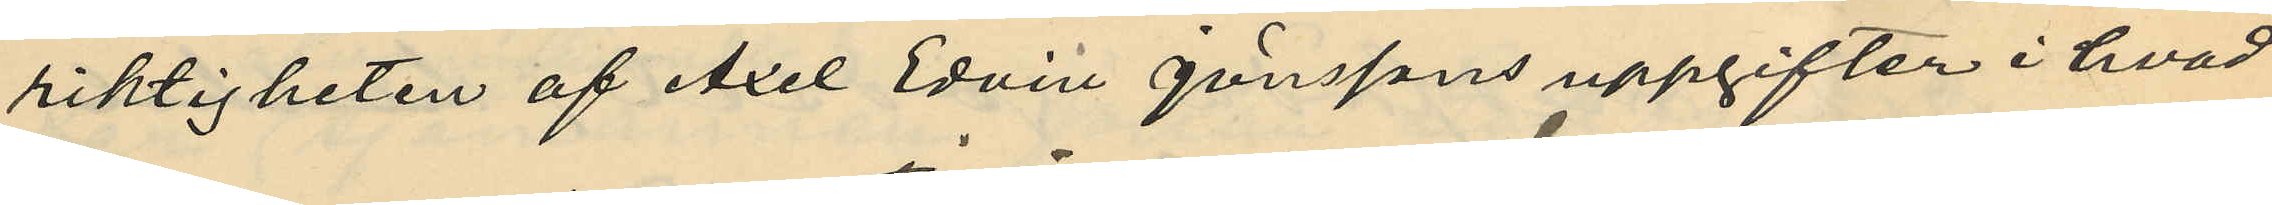riktigheten af Axel Edvin Jönssons uppgifter i hvad
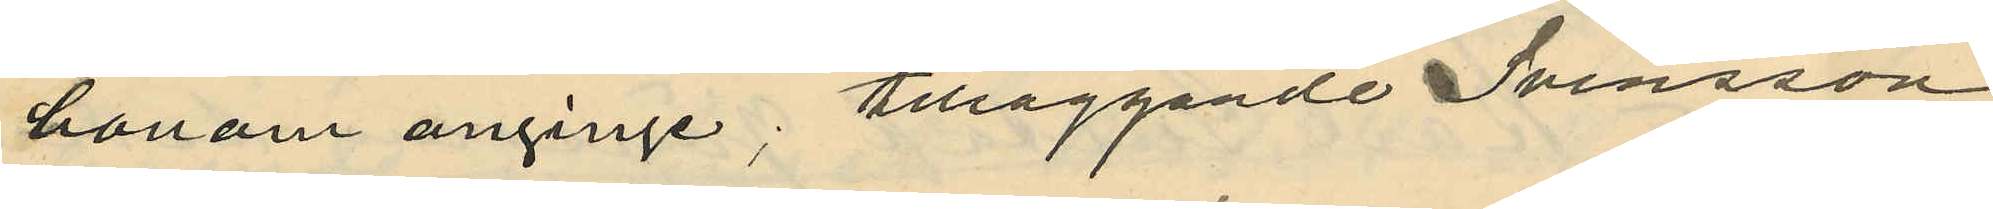honom anginge; tilläggande Svensson
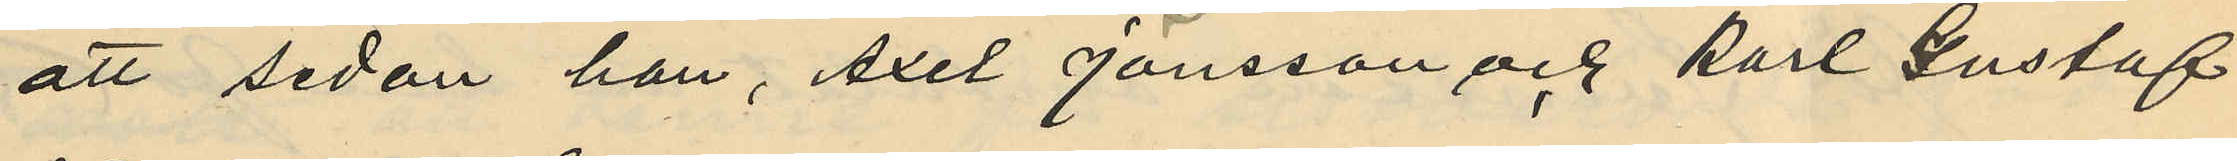att sedan han, Axel Jönsson och Karl Gustaf
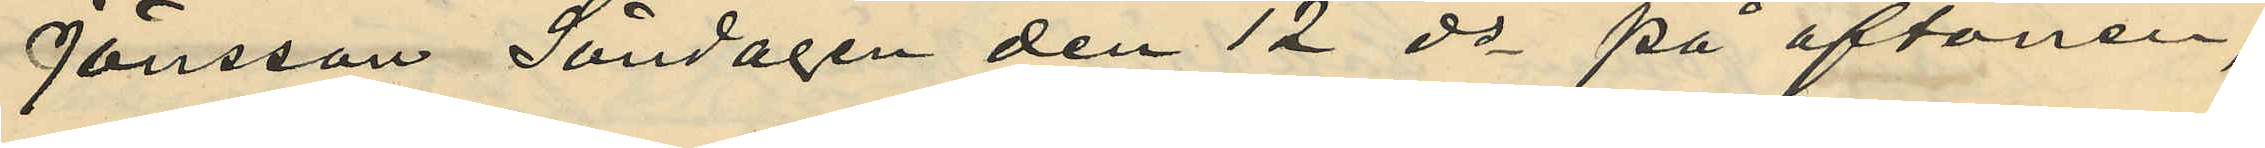Jönsson Söndagen den 12 ds på aftonen,
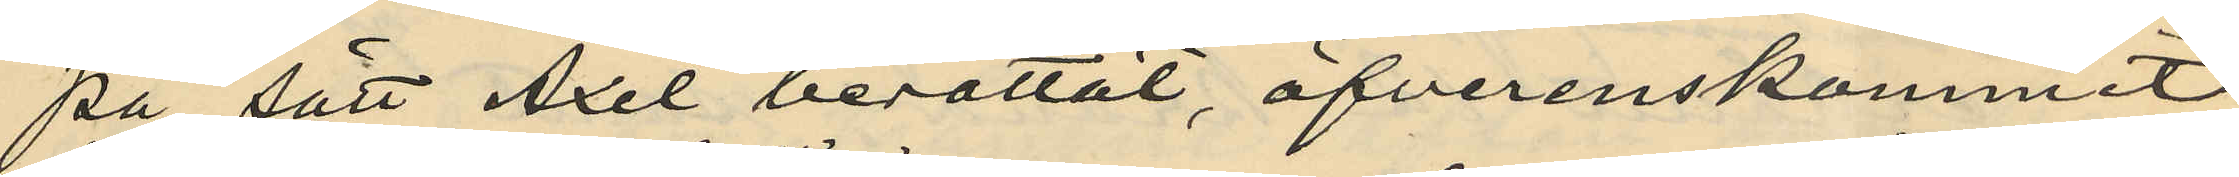på sätt Axel berättat, öfverenskommit
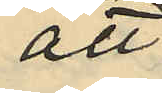att
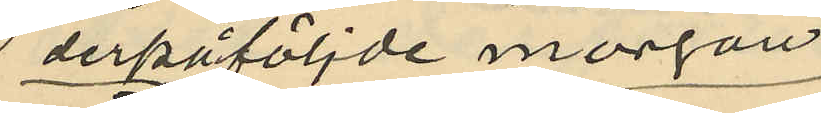derpåföljde morgon
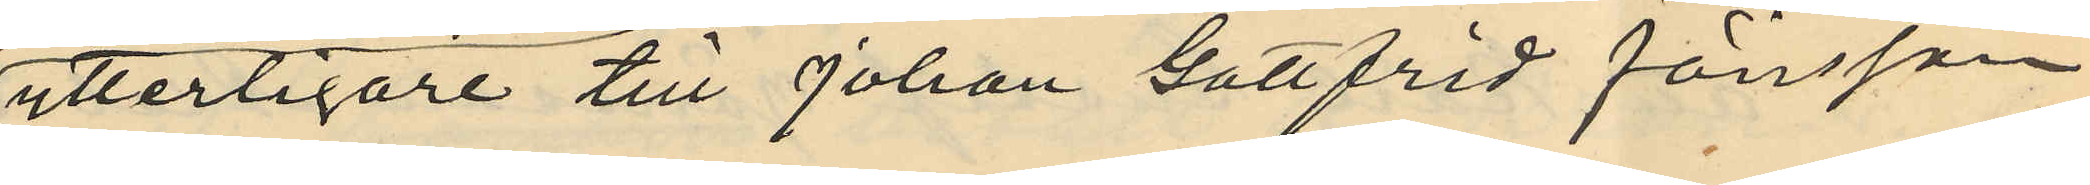ytterligare till Johan Gottfrid Jönsson
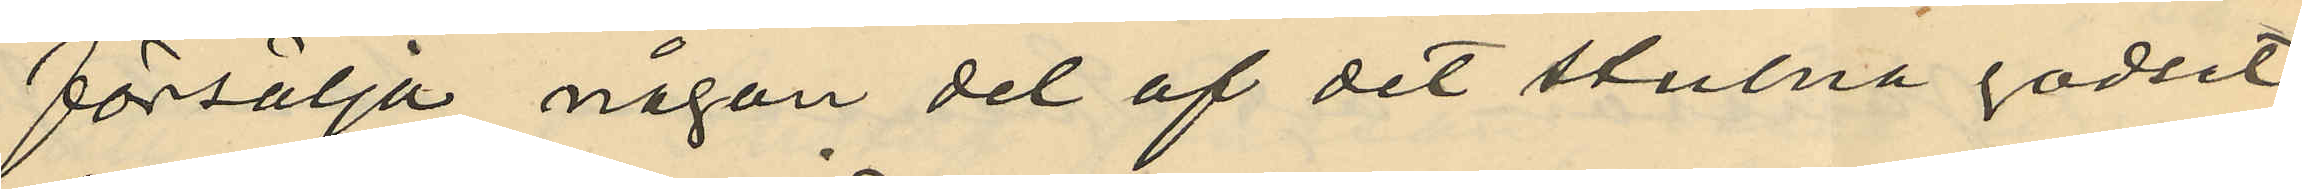försälja någon del af det stulna godset,
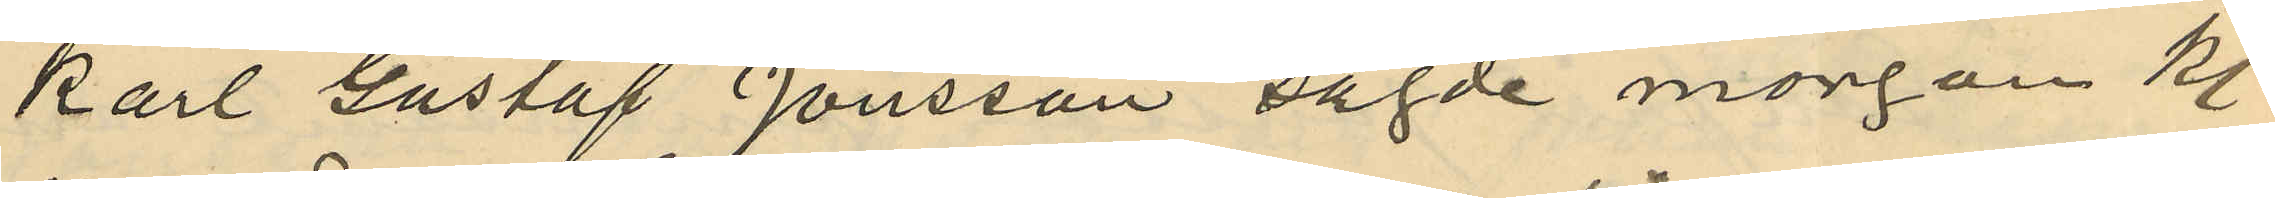Karl Gustaf Jönsson sagde morgon Kl.
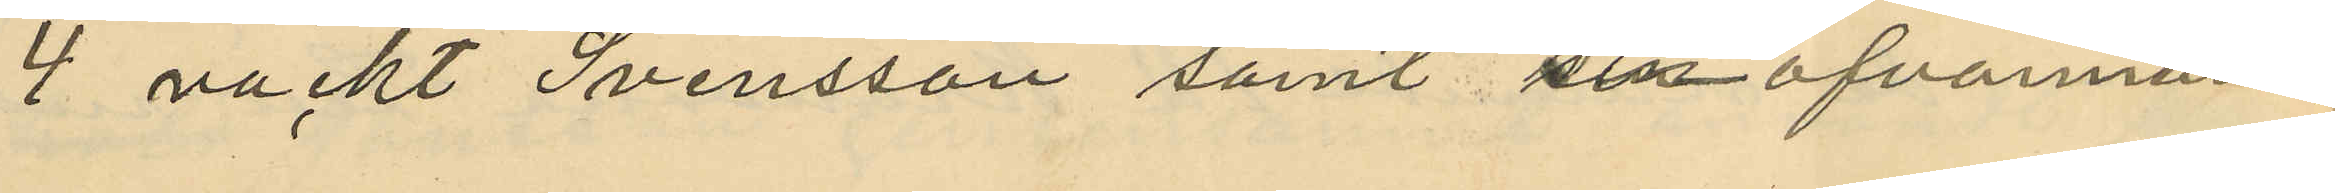4 väckt Svensson samt sin ofvannämn¬
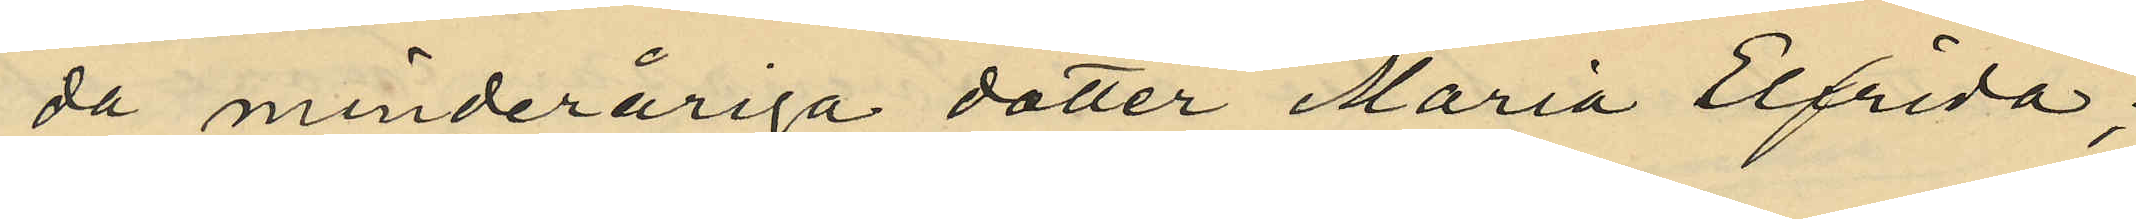da minderåriga dotter Maria Elfrida;
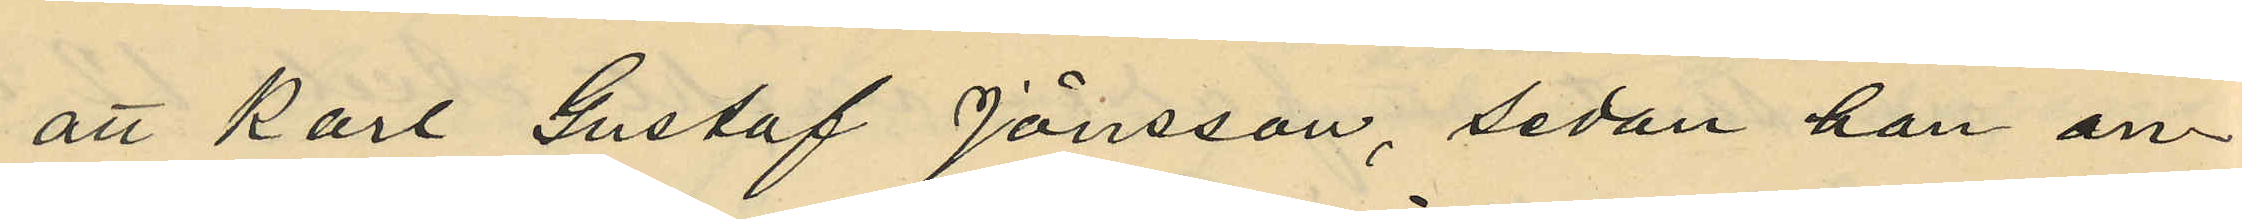att Karl Gustaf Jönsson, sedan han an¬
